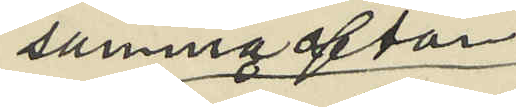samma afton
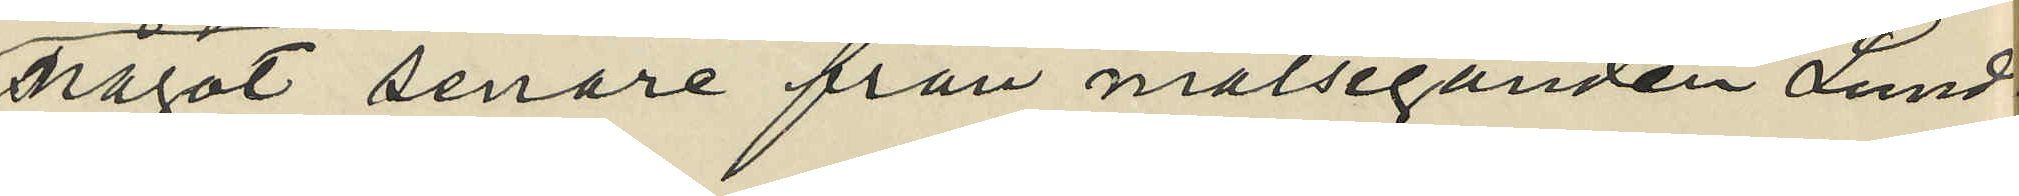något senare från målseganden Lund¬
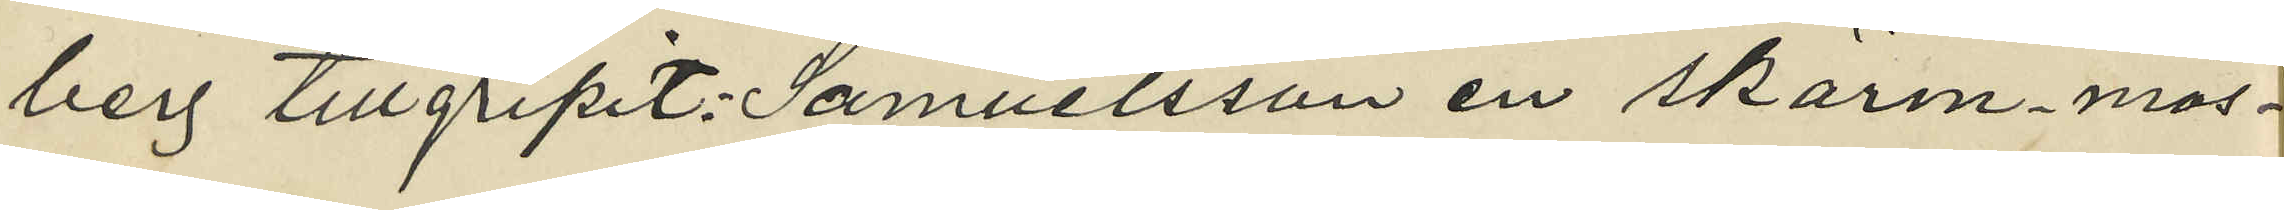berg tillgripit Samuelsson en skärmmös¬
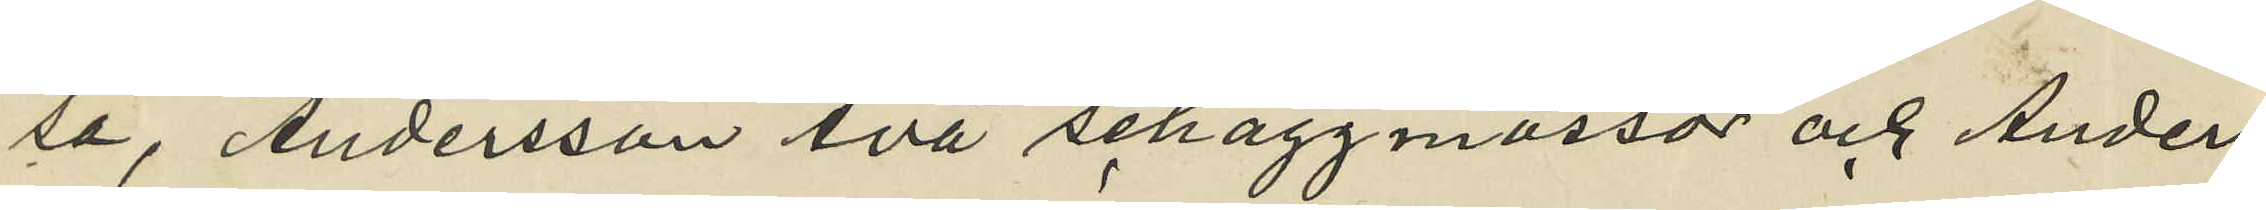sa, Andersson två schaggmössor och Anders
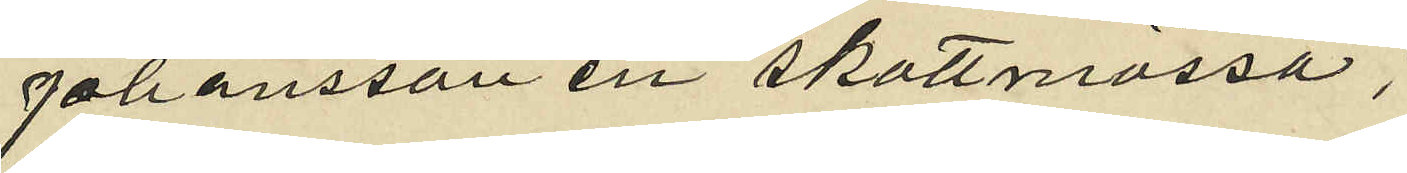Johansson en skottmössa;
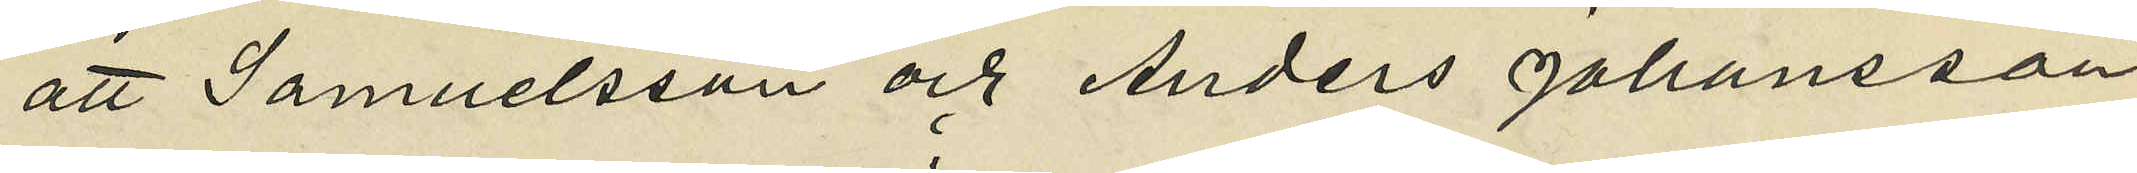att Samuelsson och Anders Johansson
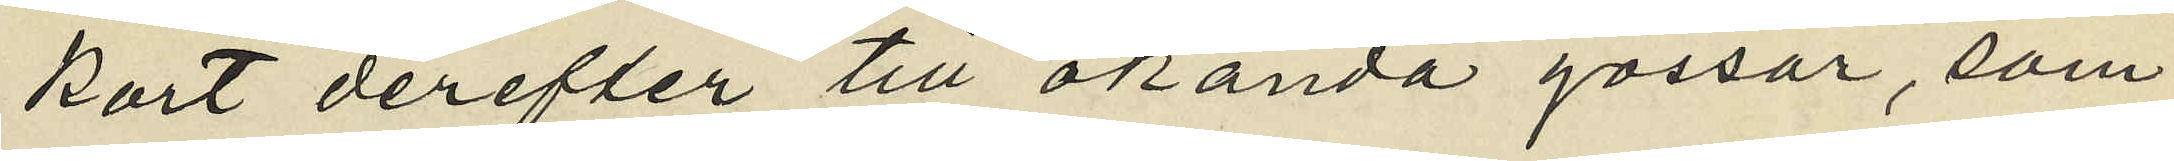kort derefter till okända gossar, som
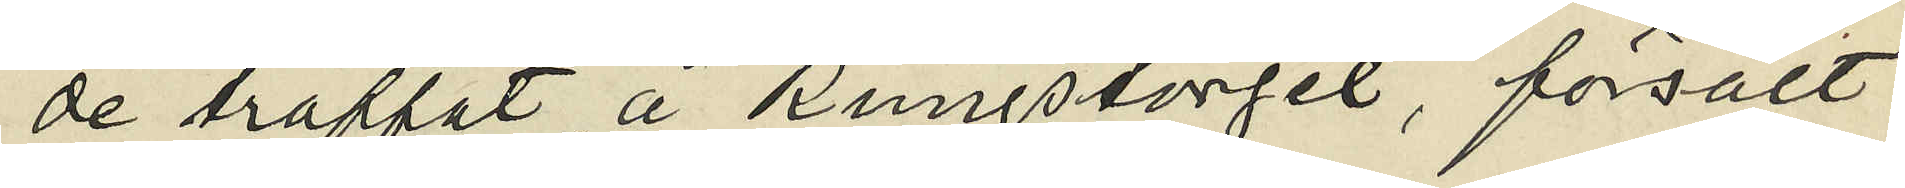de träffat å Kungstorget, försålt
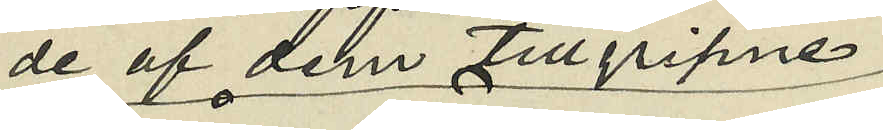de af dem tillgripne
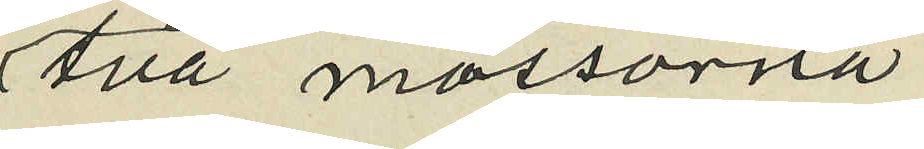Två mössorna
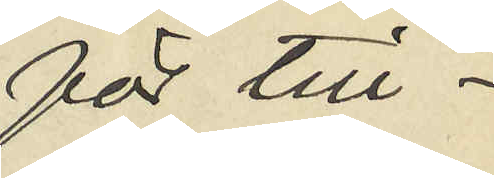för till¬
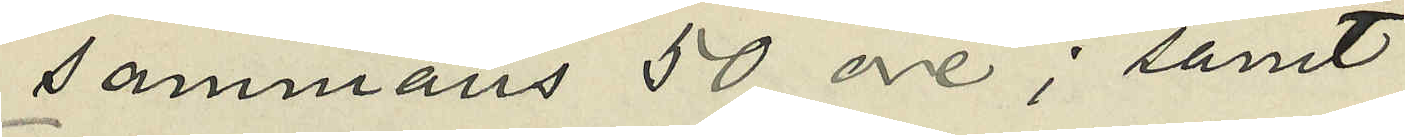sammans 50 öre; samt
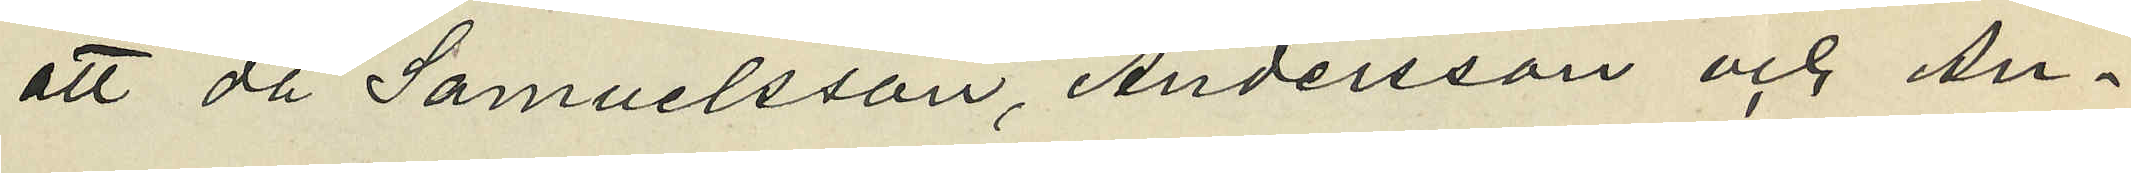att då Samuelsson, Andersson och An¬
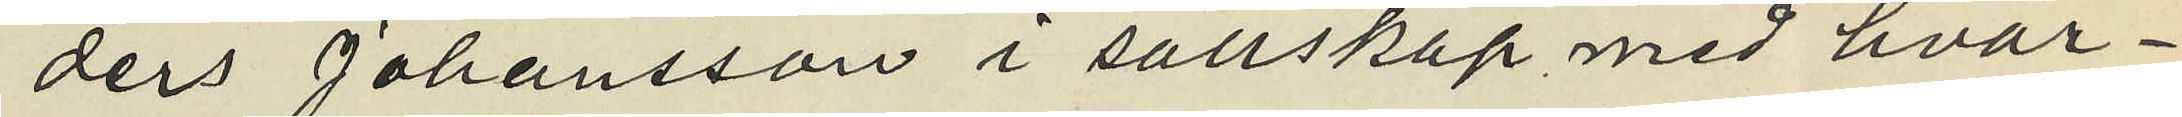ders Johansson i sällskap med hvar¬
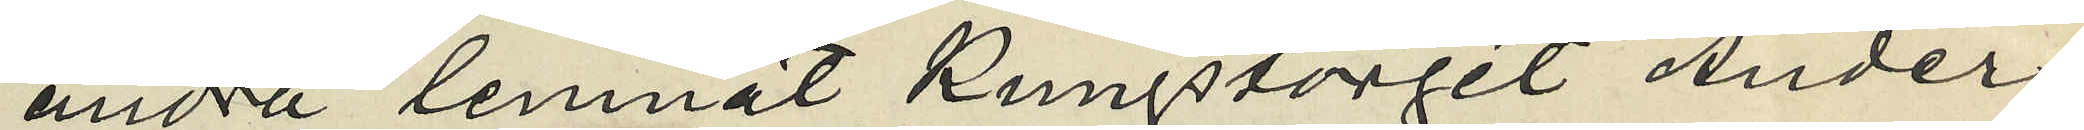andra lemnat Kungstorget Anders
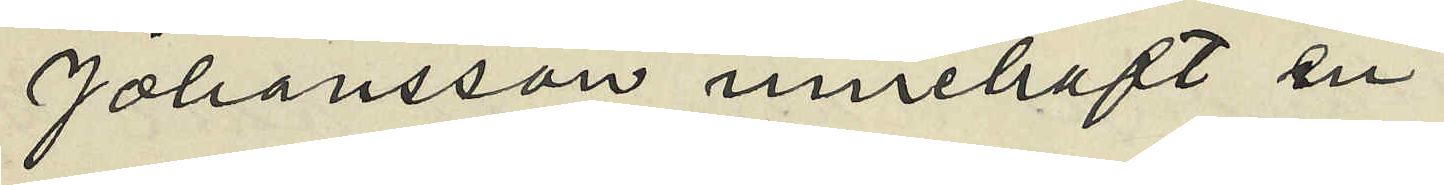Johansson innehaft en
